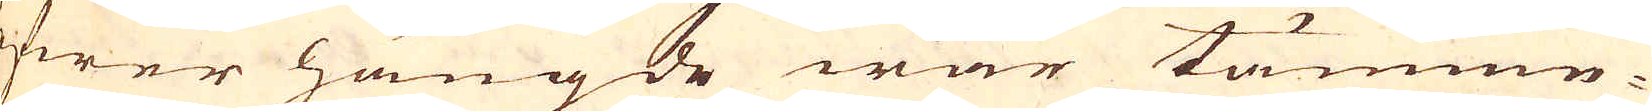öfwer hängde war tämnme-
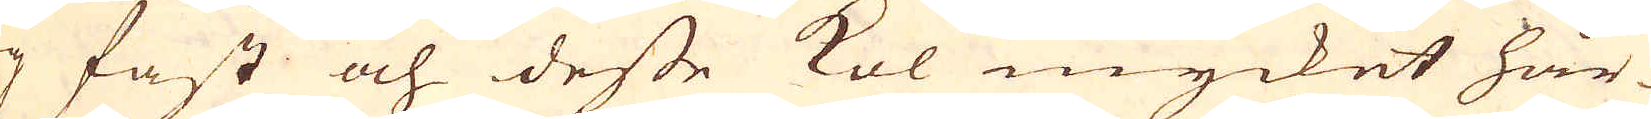lig fast och desse kol mycket hår-
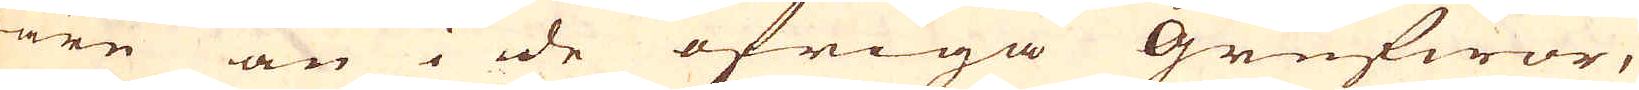dare än i de öfriga Grufwor,
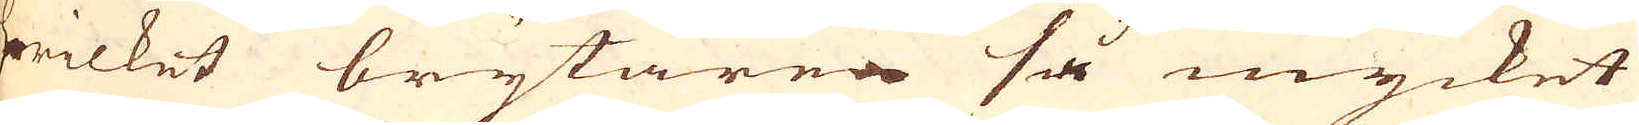hwilcket brytaren så mycket
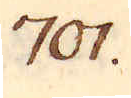701.
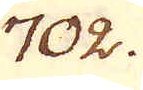702.
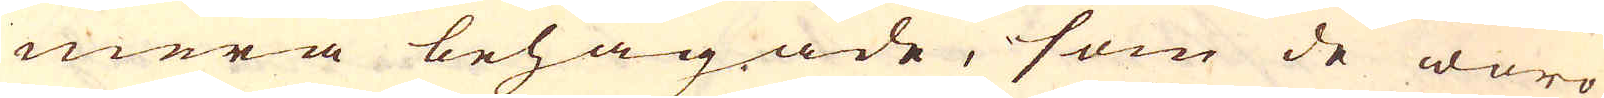mera behagade, som de woro
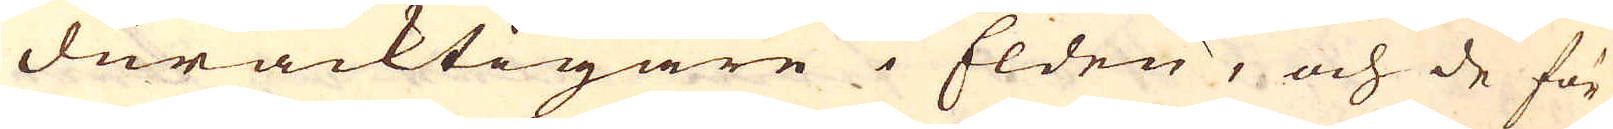duracktigare i Elden, och de för
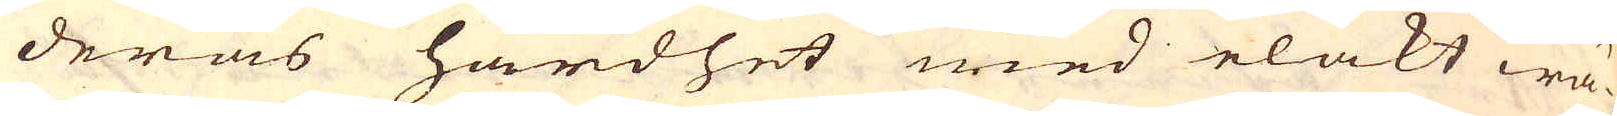deras hårdhet med elakt wä-
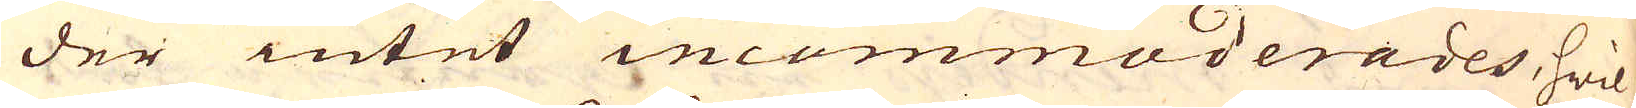der intet incommoderares, hwil-
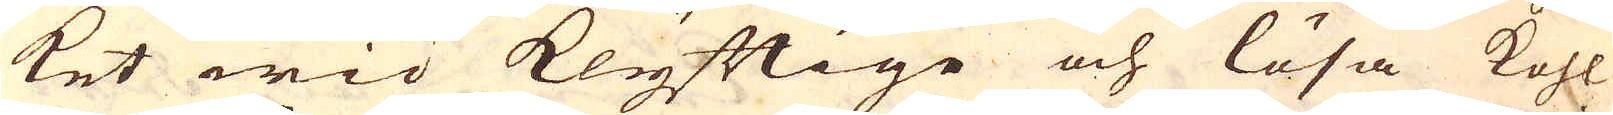ket wid klyftige och lösa kohl
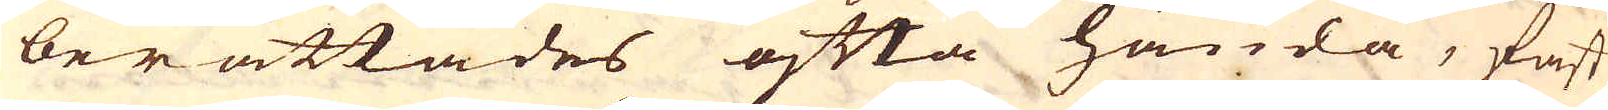berättades ofta hända, fast
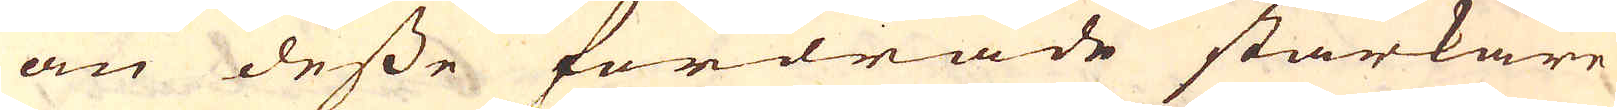än desse fordrade starkare
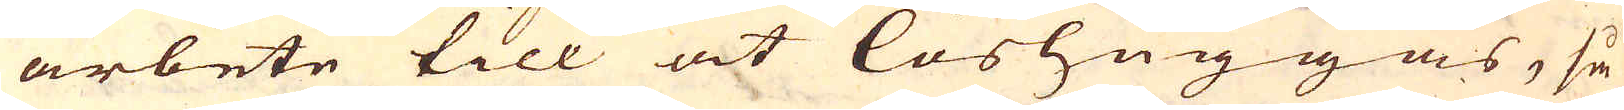arbete till at löshuggas, så
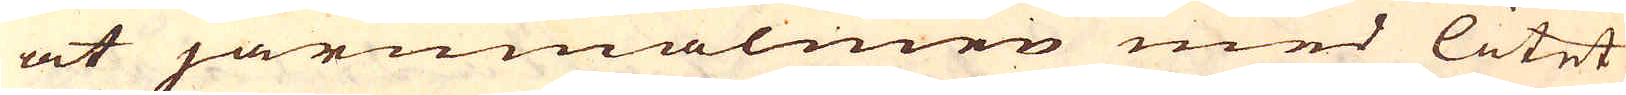at järnmalmen med litet
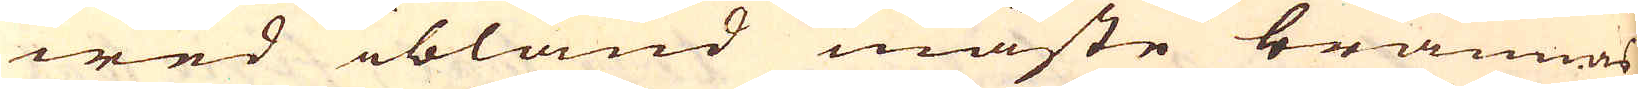wed ibland måste brännas
